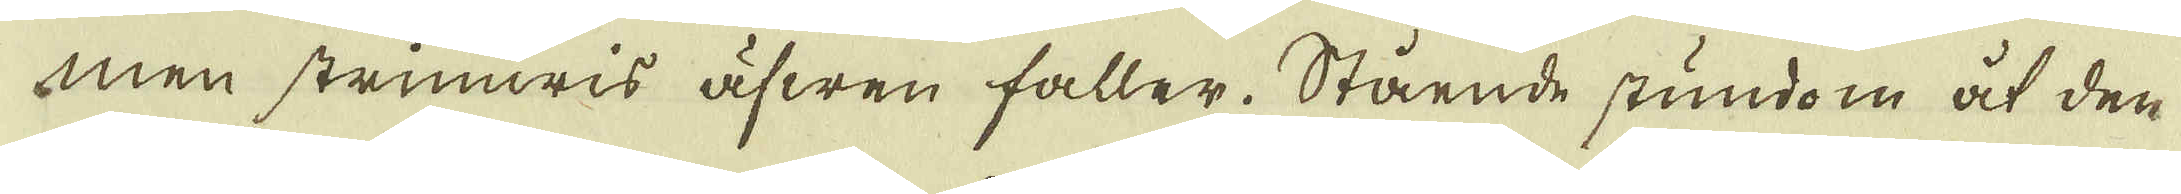men strimwis äfwen faller. Stående stundom åt den
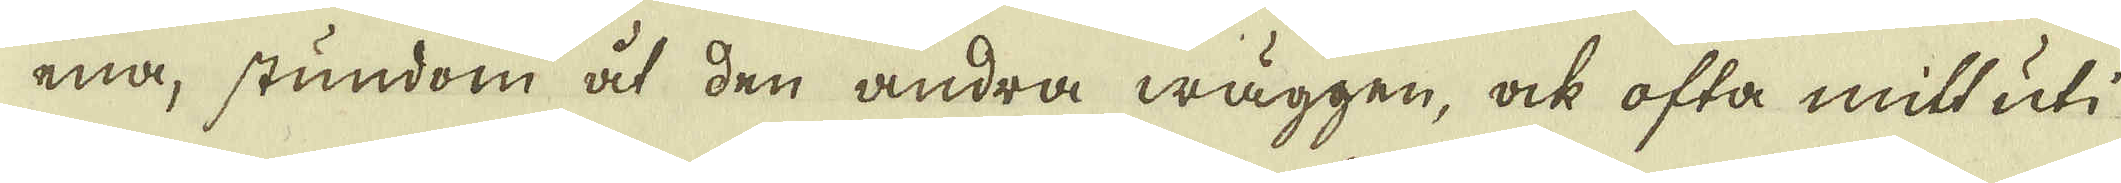ena, stundom åt den andra wäggen, ock ofta mitt uti
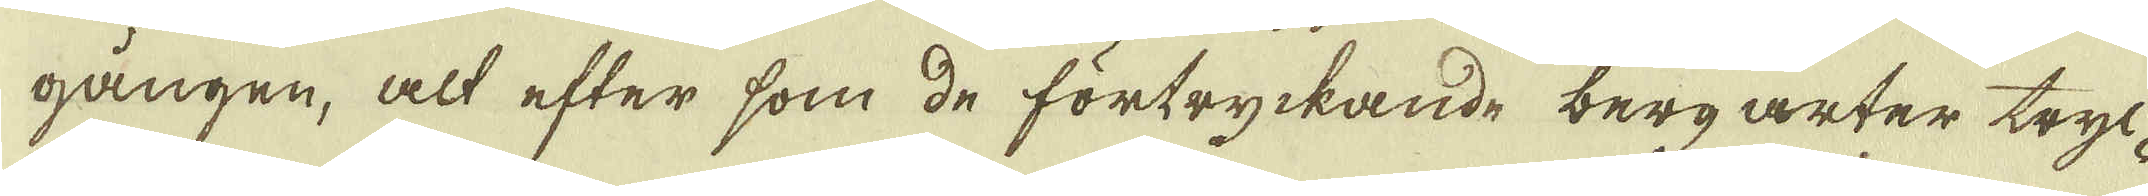gången, alt efter som de förtryckande berg arter tryc-
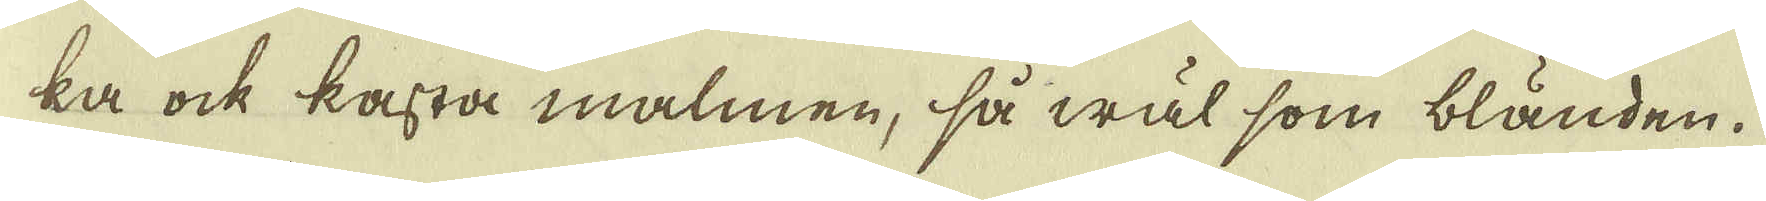ka ock kasta malmen, så wäl som bländen.
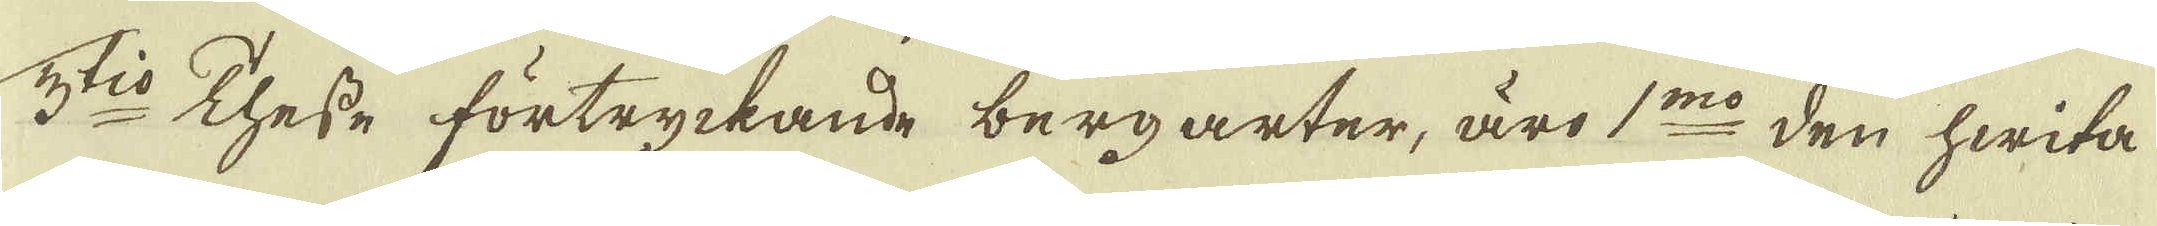3:tio Thesse förtryckande berg arter, äro 1:mo den hwita
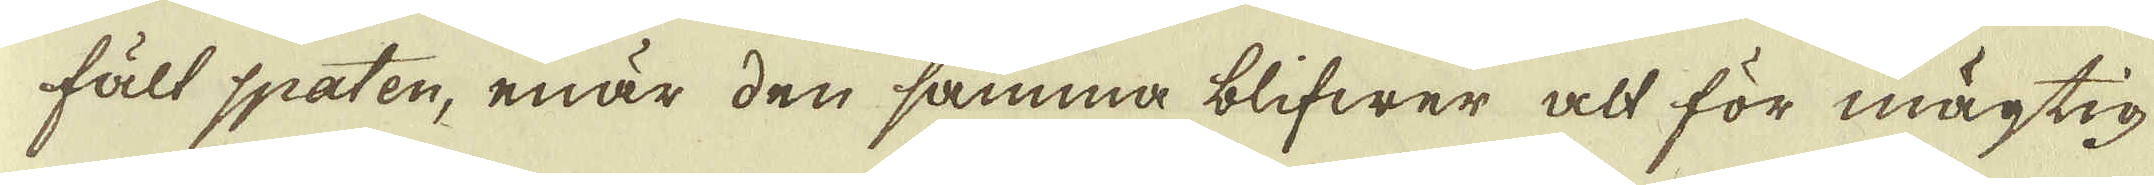fält spaten, enär den samma blifwer alt för mägtig
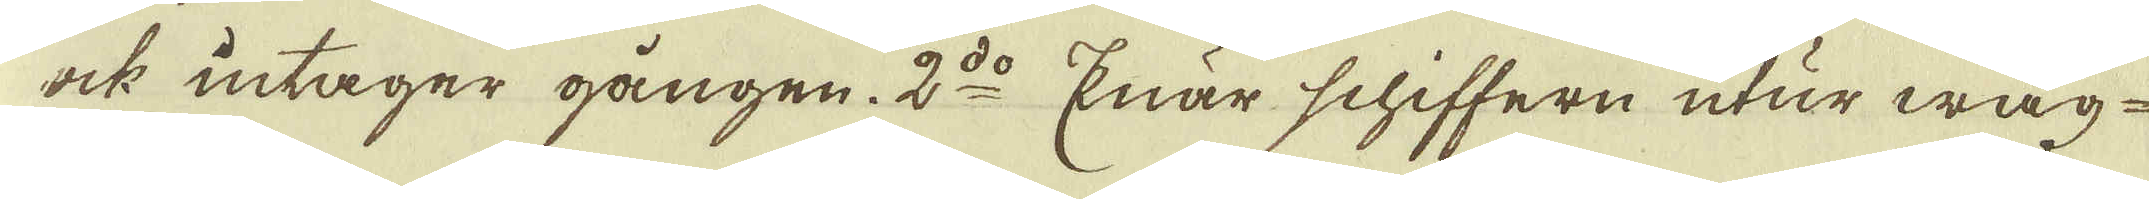ock intager gången. 2:do Enär schiffern utur wäg-
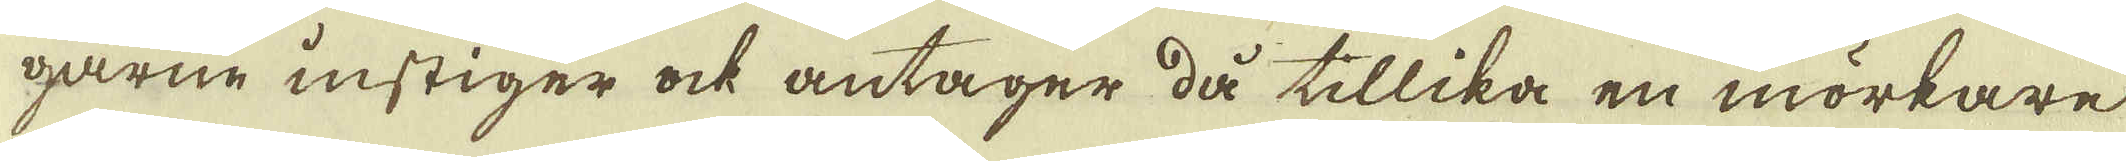garne instiger ock antager då tillika en mörkare
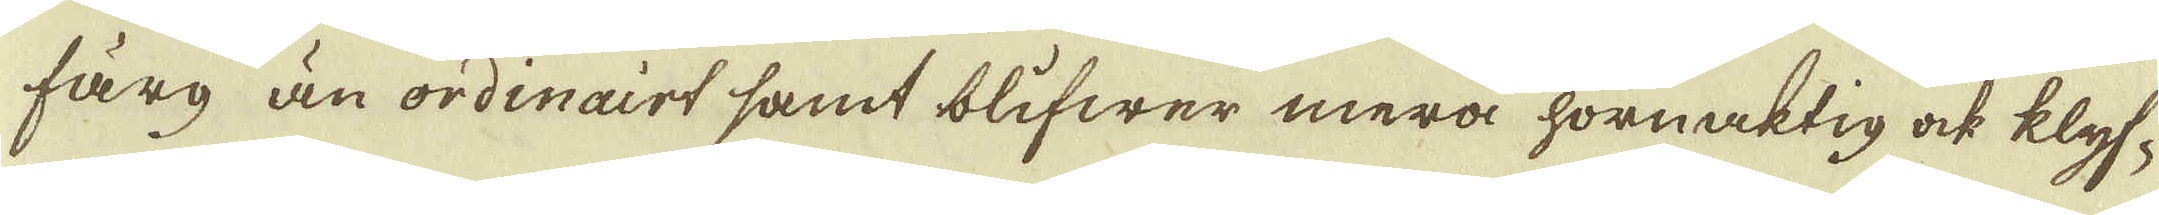färg än ordinairt samt blifwer mera hornaktig ock klyf-
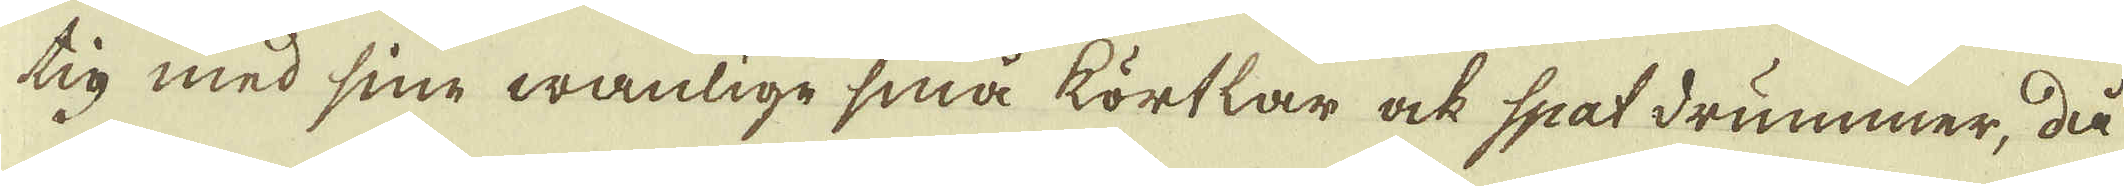tig med sine wanlige små körtlar ock spatdrummer, då
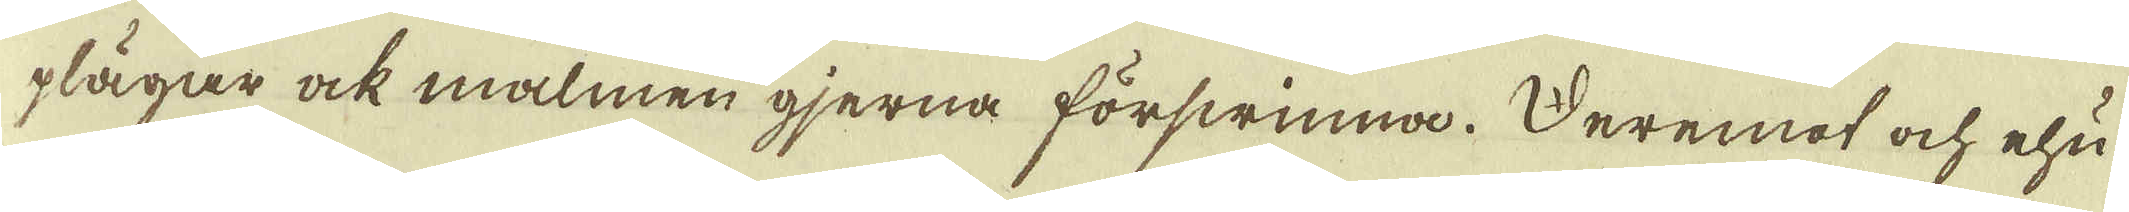plägar ock malmen gjerna förswinna. Deremot ock ehu-
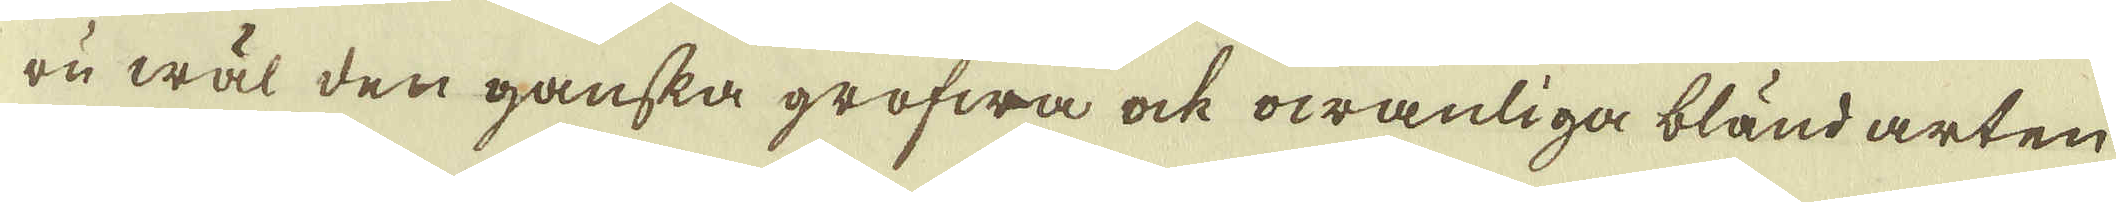ru wäl den ganska grofwa ock owanliga bländ arten
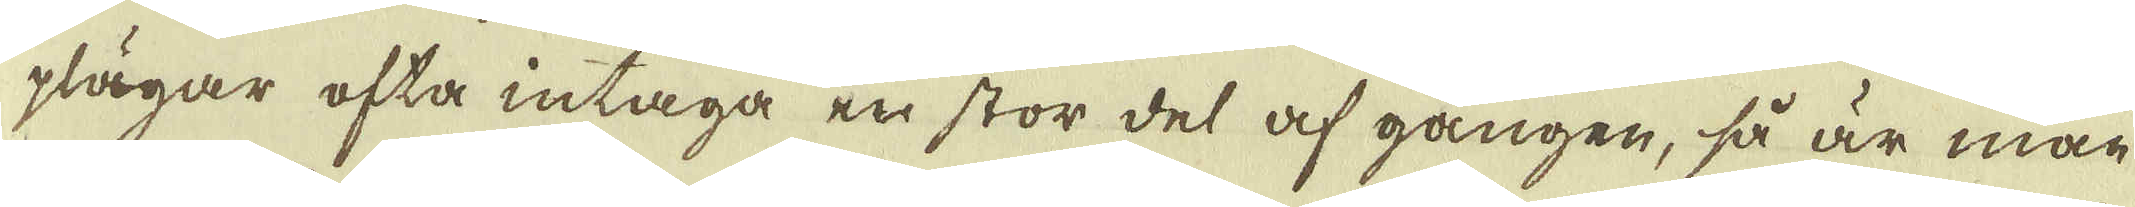plägar ofta intaga en stor del af gången, så är man
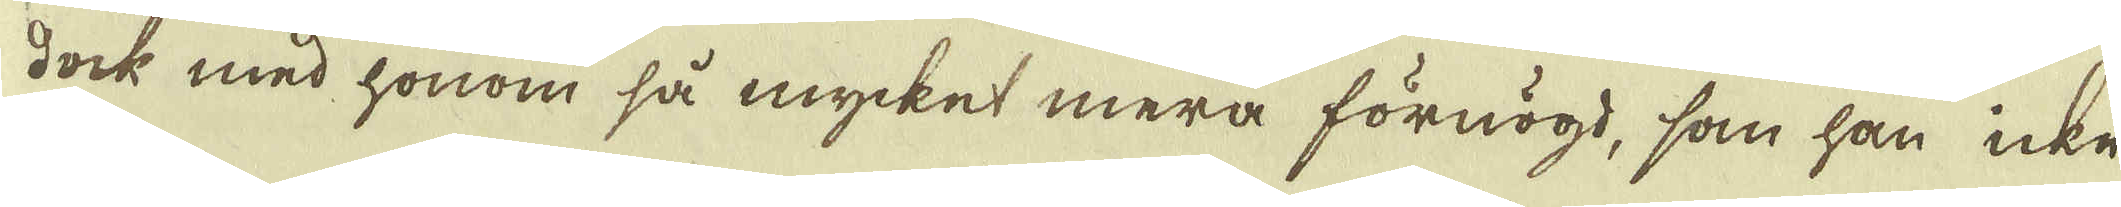dock med honom så mycket mera förnögd, som han icke
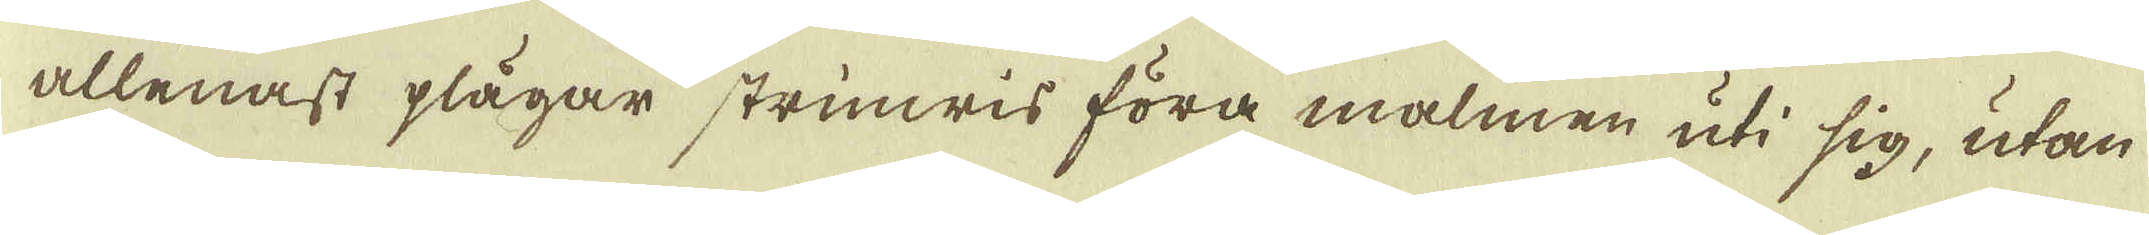allenast plägar strimwis föra malmen uti sig, utan
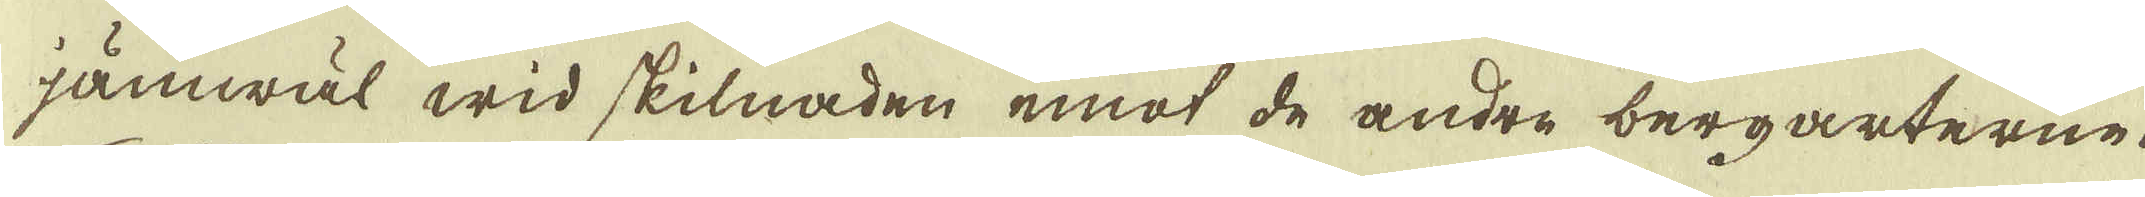jämwäl wid skilnaden emot de andre bergarterne.
